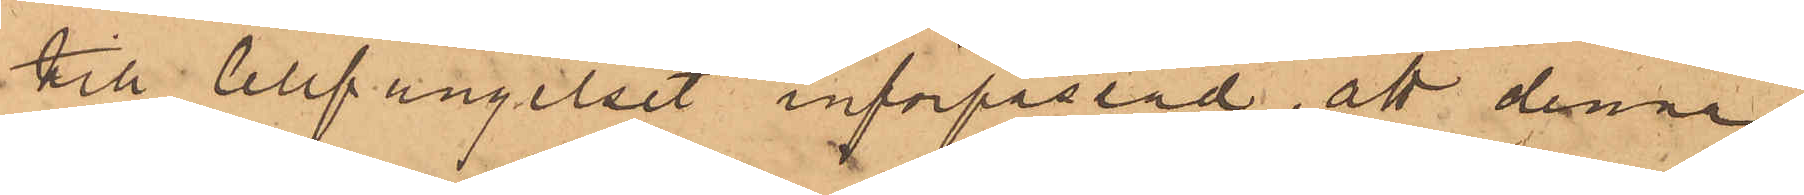till Cellfängelset införpassad, att denna
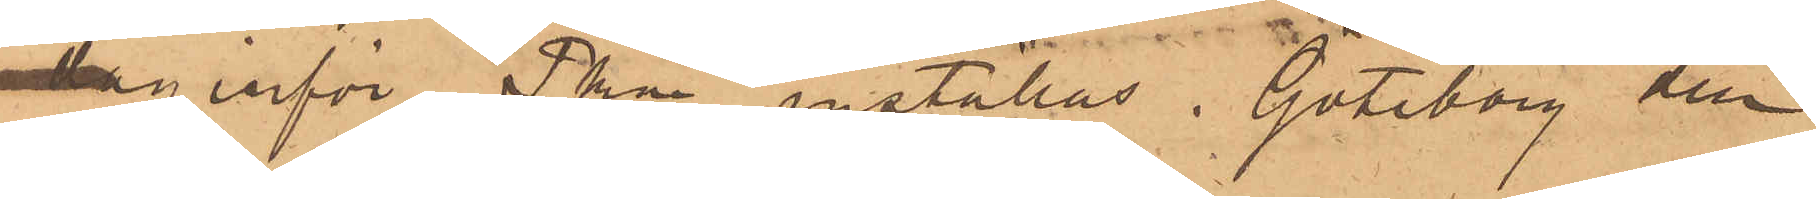dag inför Pkn inställas. Göteborg den
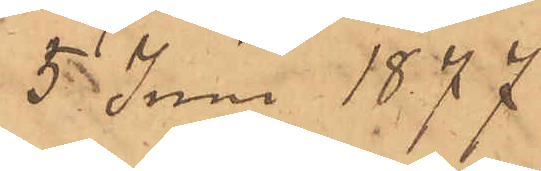5 Juni 1877
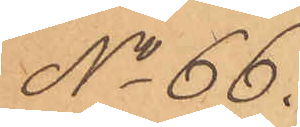No 66.
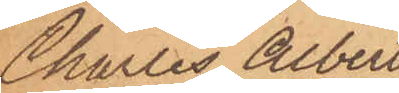Charles Albert
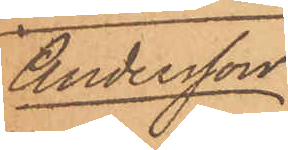Andersson
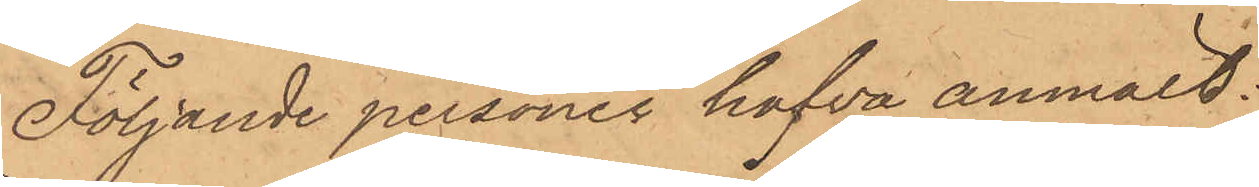Följande personer hafva anmält:
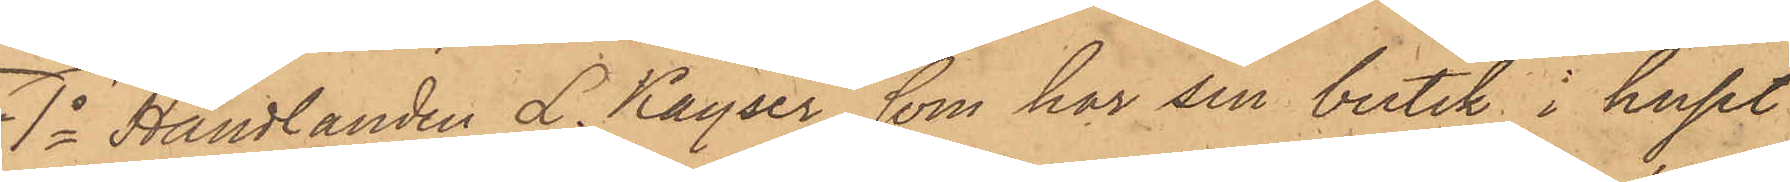1o Handlanden L. Kayser, som har sin butik i huset
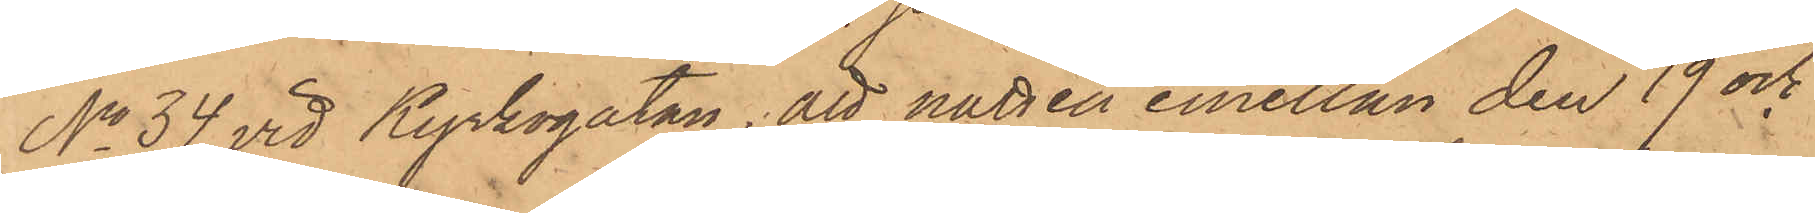No 34 vid Kyrkogatan, att natten emellan den 19 och
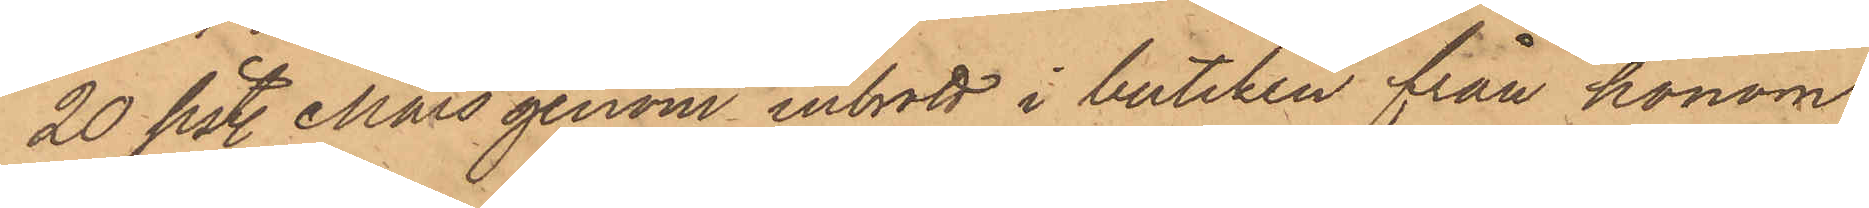20 sistl. Mars genom inbrott i butiken från honom
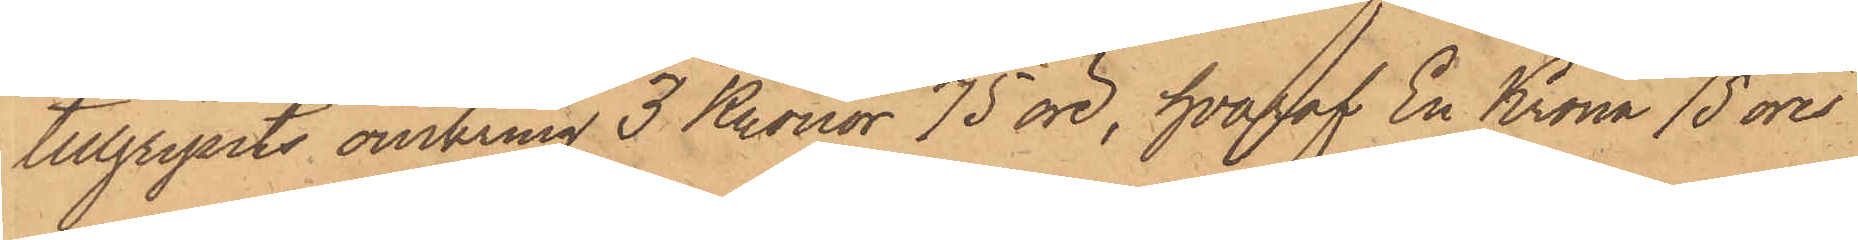tillgripits omkring 3 Kronor 75 öre, hvaraf En Krona 75 öre
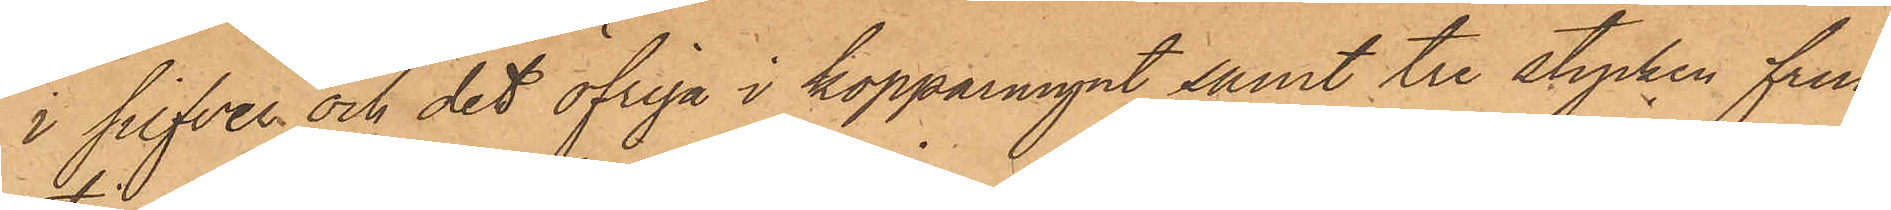i silfver och det öfriga i kopparmynt samt tre stycken frun¬
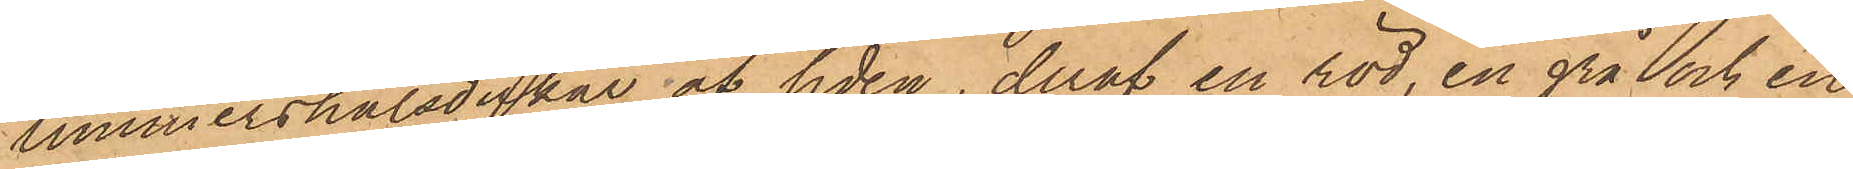timmershalsdukar af siden, deraf en röd, en grå och en
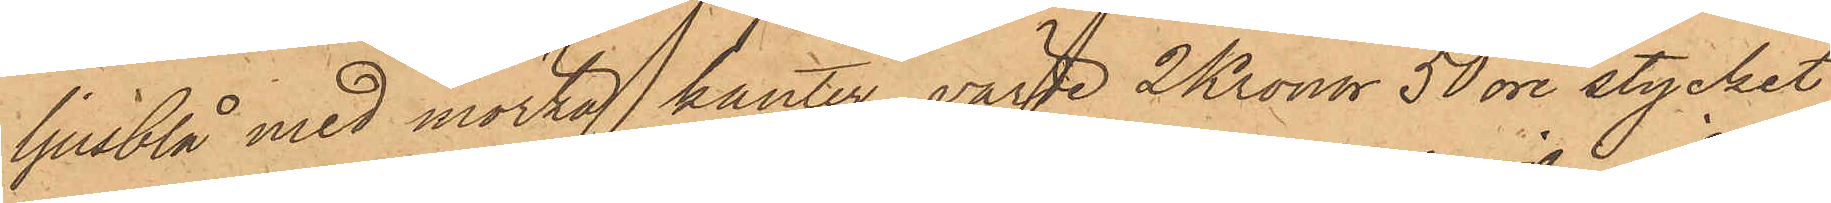ljusblå med mörka kanter, värde 2 Kronor 50 öre stycket,
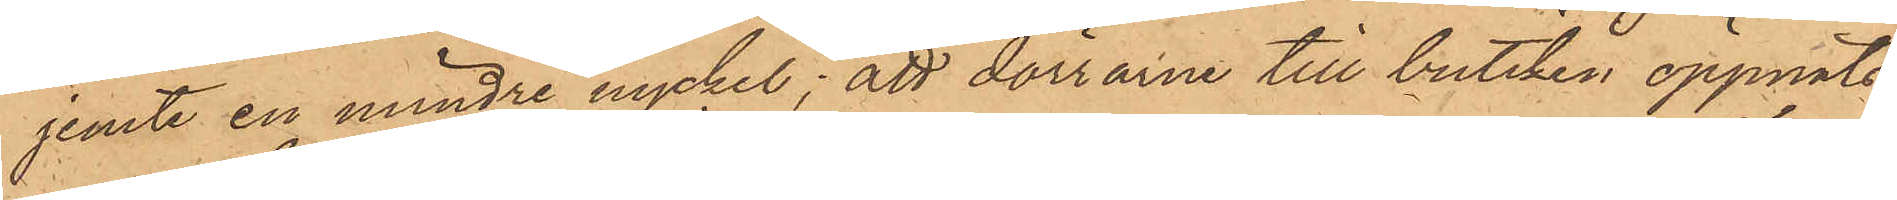jemte en mindre nyckel; att dörrarne till butiken öppnats
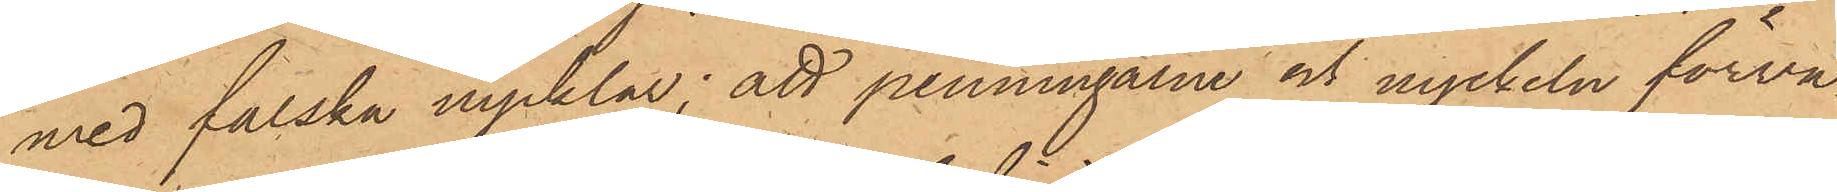med falska nycklar; att penningarne och nyckeln förva¬
